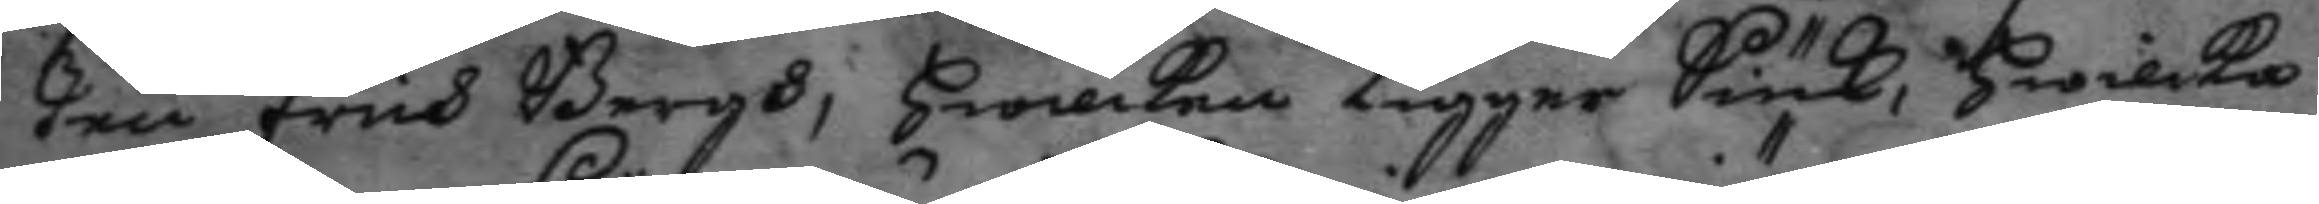ten Erich Bergh, hwilken ligger Siuk, hwilka 
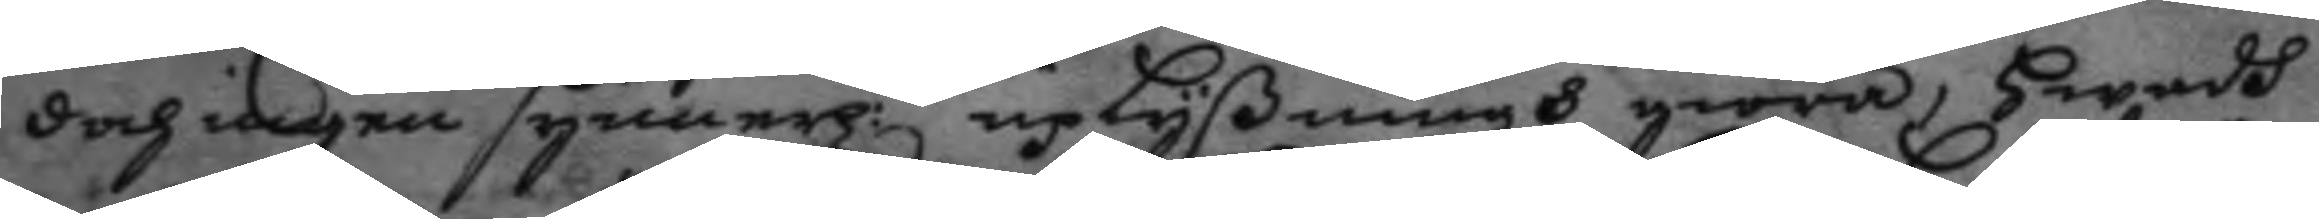doch ingen synnerl:n upLyßningh giöra, Hwadh 
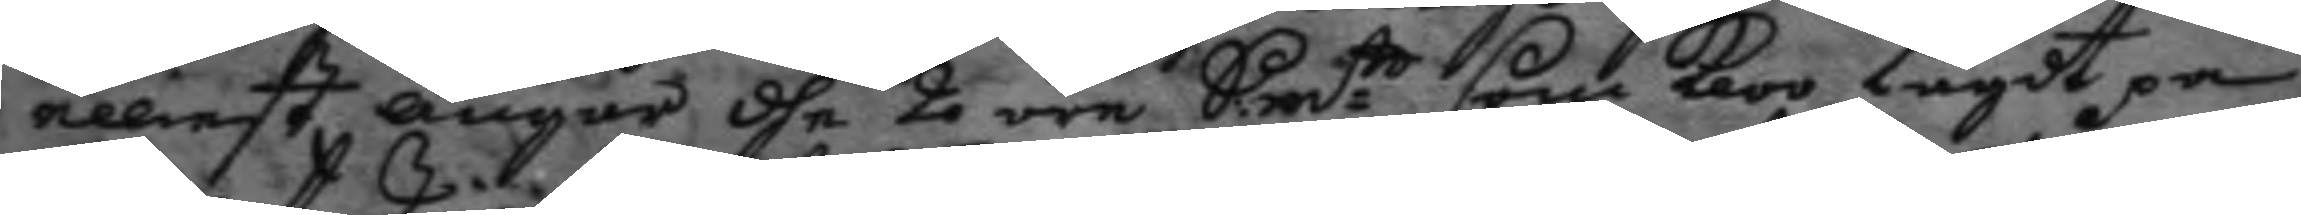elliest angår dhe 2 öre Smt som kloo lagdt på 
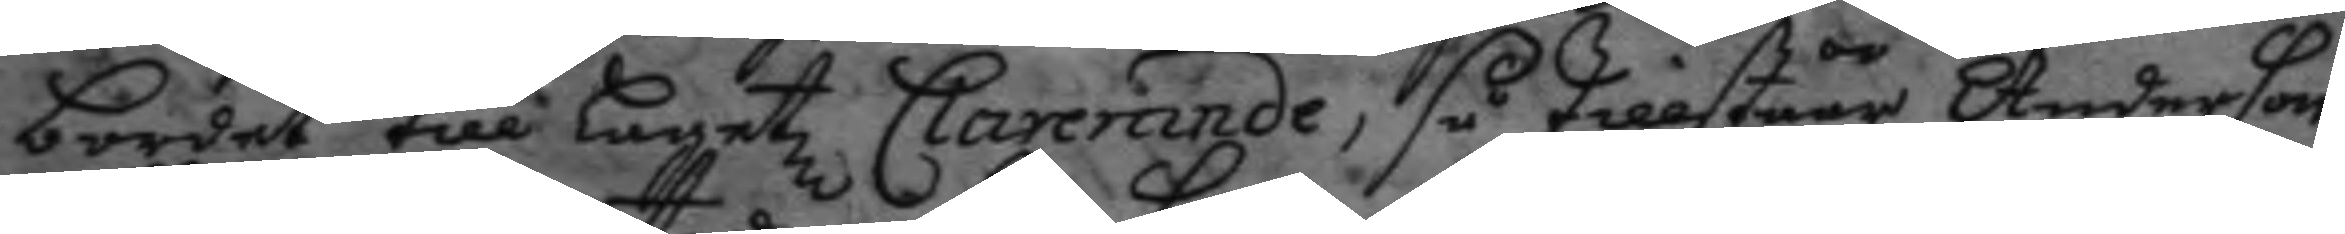bordet till lagetz Clarerande, så tillståår Anderson
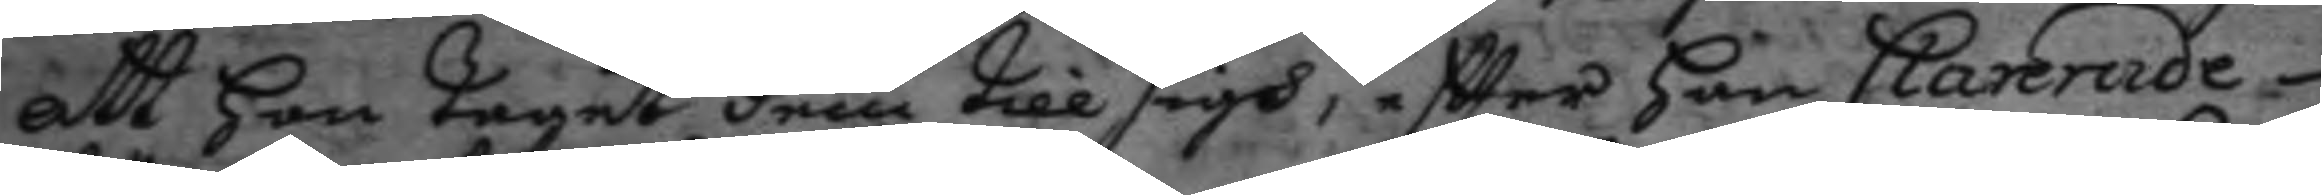att han taget dem till sigh, eftter han Clarerade
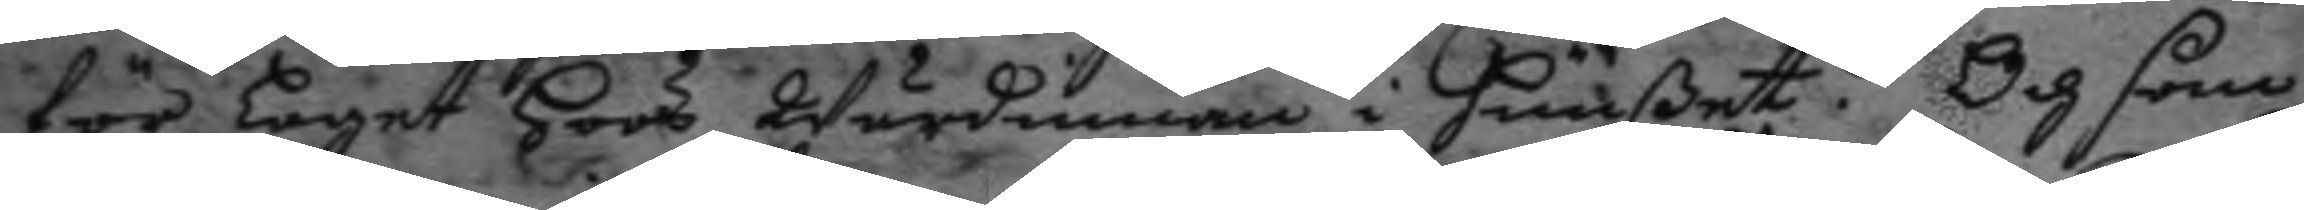för laget hoos Wärdinnan i huußet. Och som
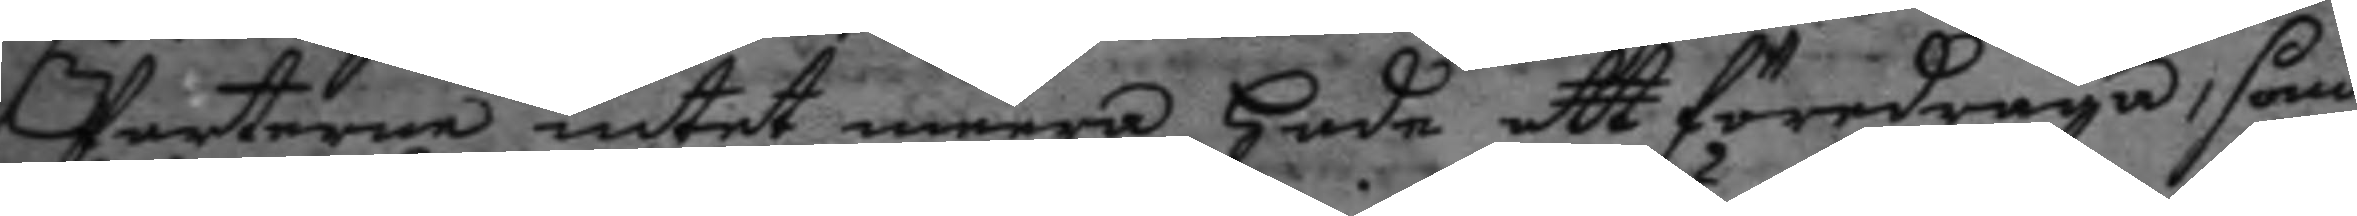Parterne intet meera hade att föredraga, som
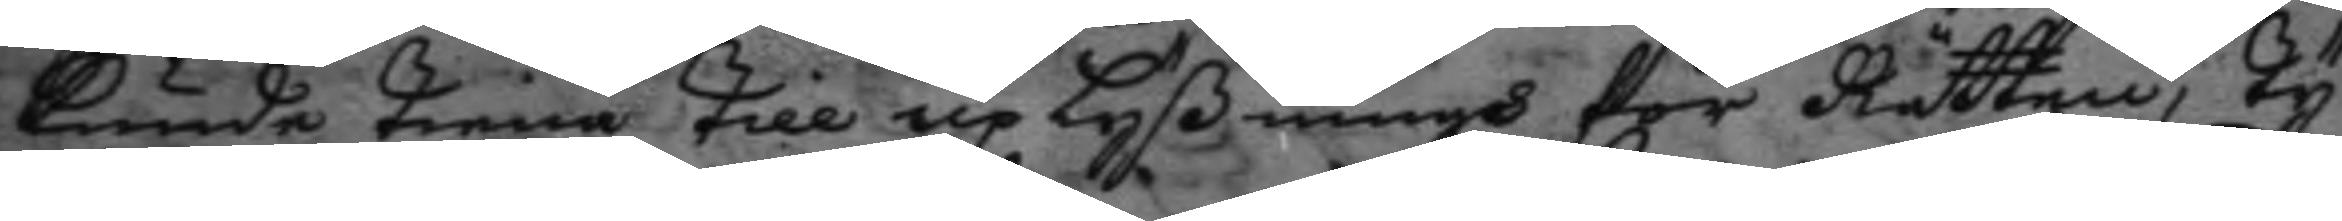kunde tiena till up Lyßningh för Rätten, ty
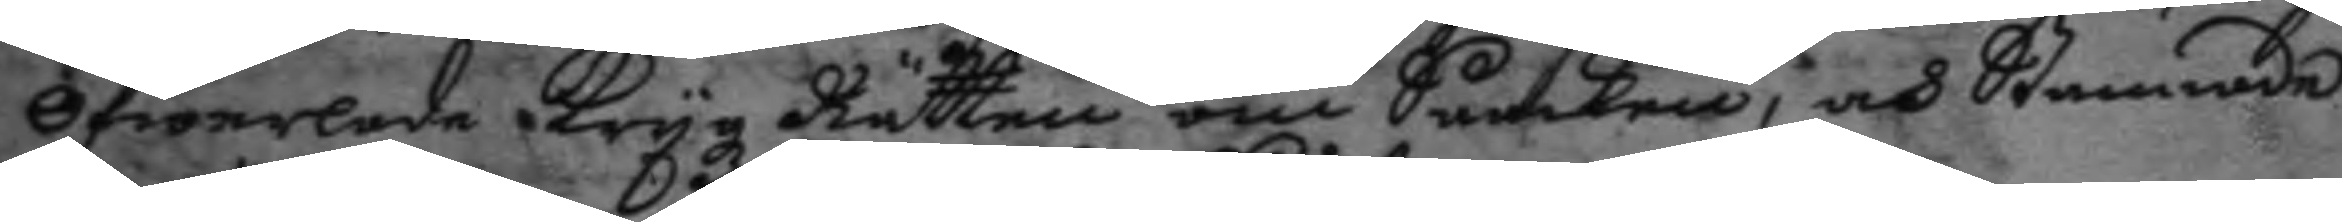öfwerlade Krygz Rätten om Saaken, och Stannade
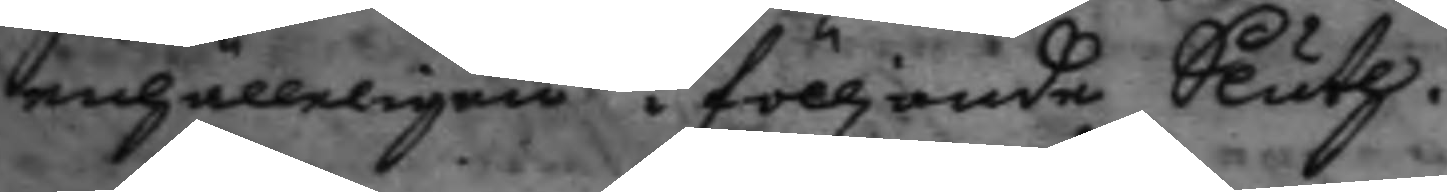enhälleligen i fölljande Sluth.
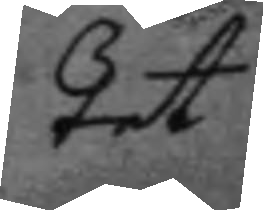tet
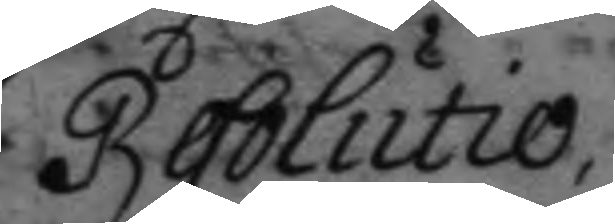Resolutio.
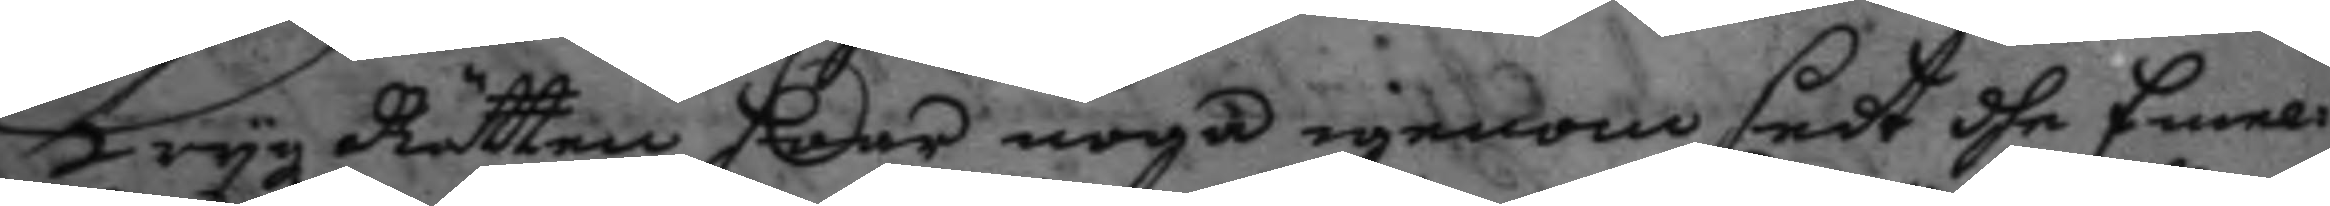Krygz Rätten haar noga igenom sedt dhe Emel¬
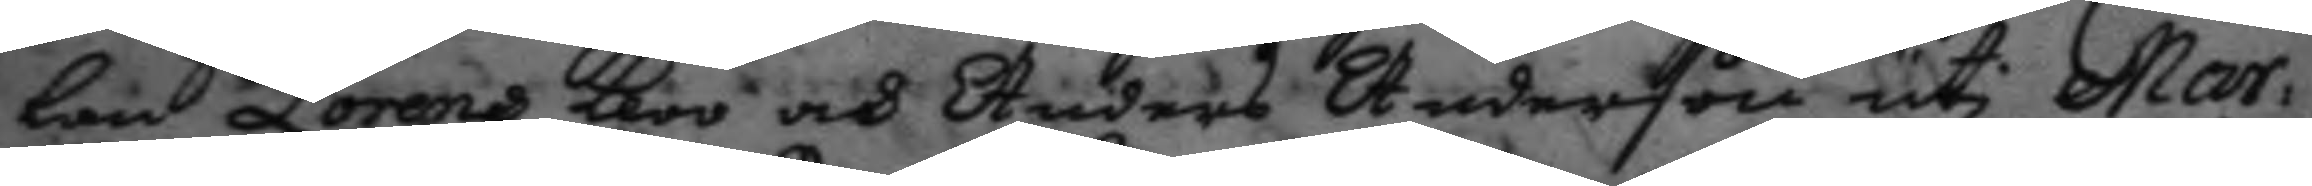lan Lorans kloo och Anders Anderson uti Mar¬
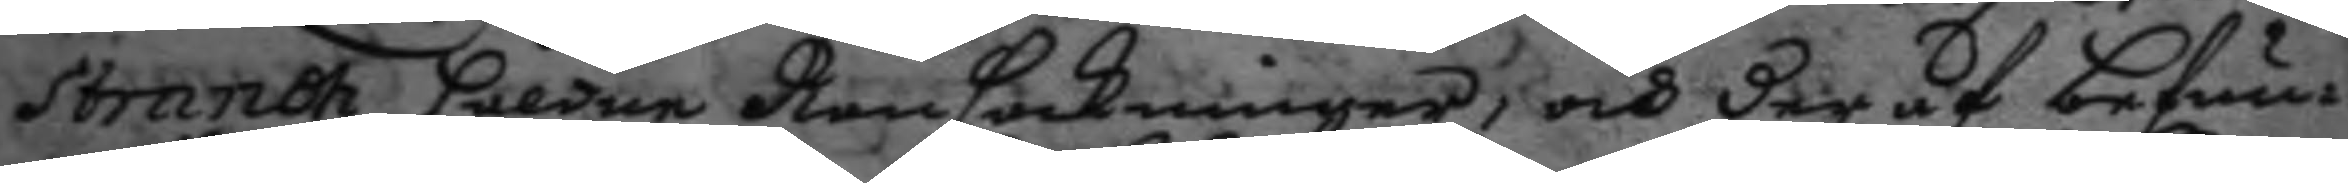strandh håldne Ransackninger, och der af befun¬
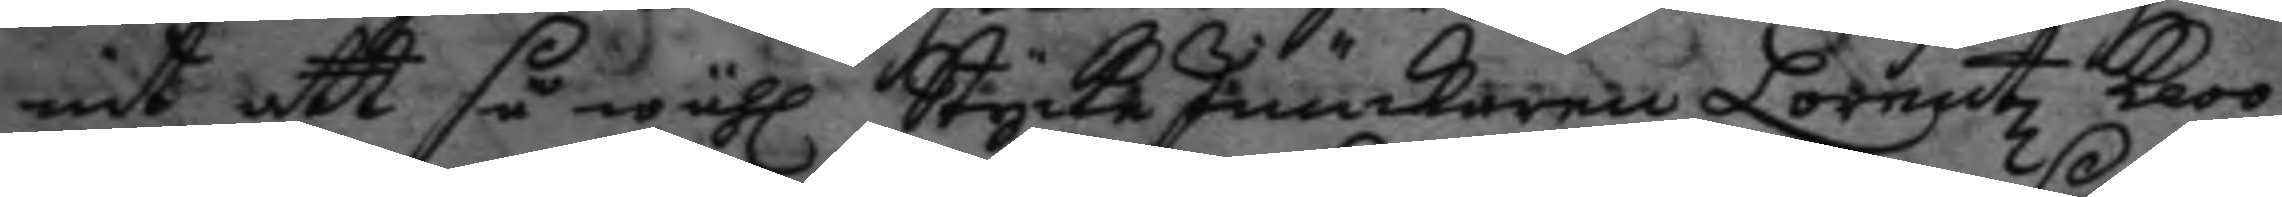nit att så wähl Stycke Junkaren Lorentz kloo
